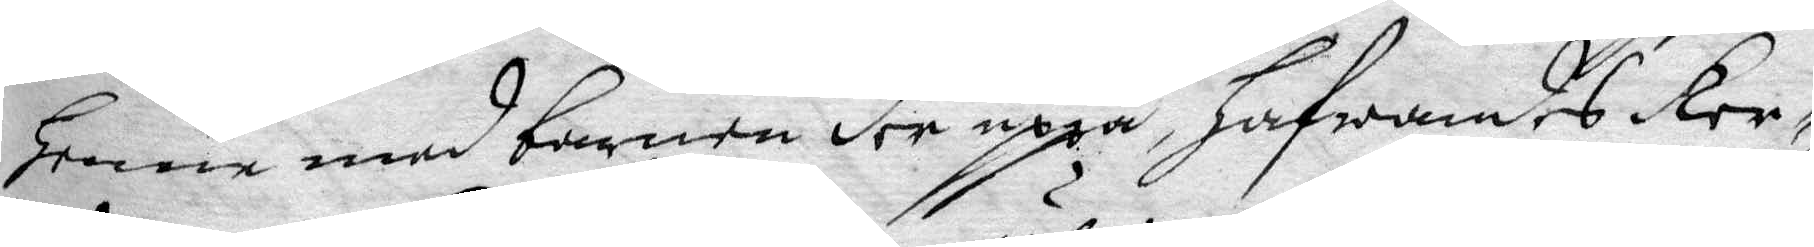henne med barnen der uppå, Hafwandes Ker¬
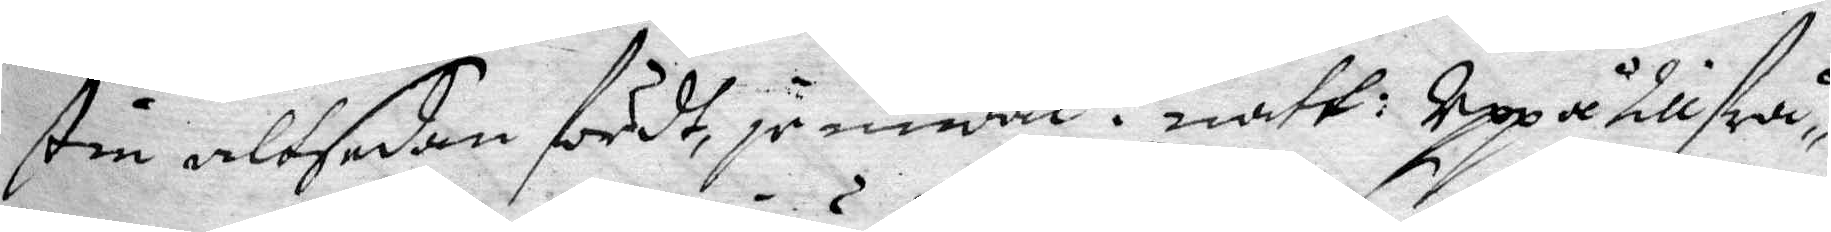stin altsedan fördt, jemwäl i natt: Uppå tillfrå¬
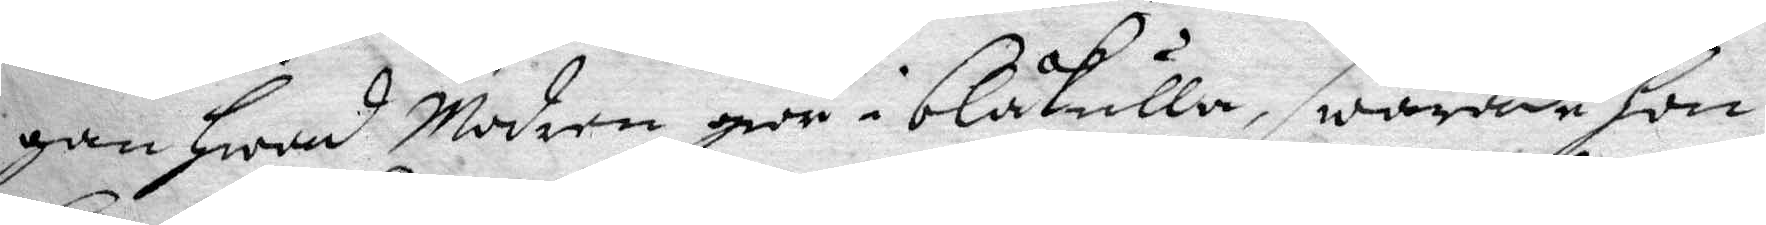gan hwad Modren giör i blåkulla, swarade hon
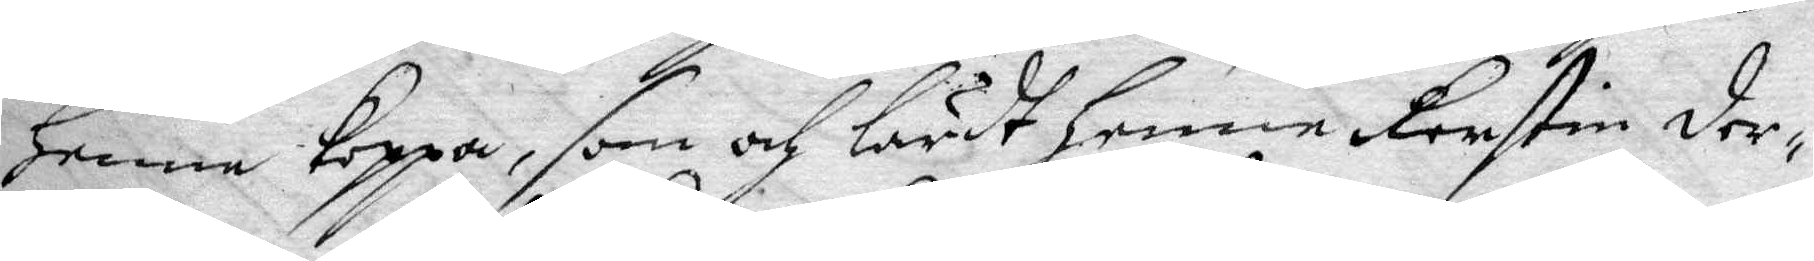henne koppa, som och lärdt henne Kerstin der¬
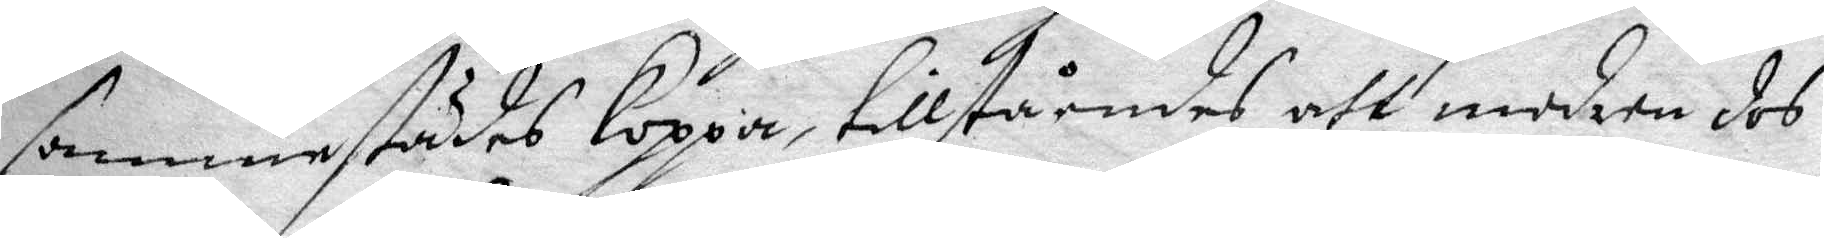sammestädes Koppa, tillståendes att modren des
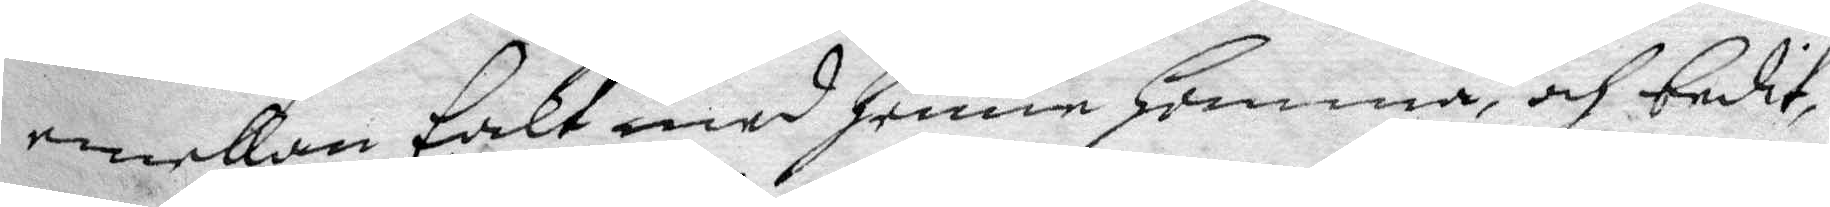emellan talt med henne hemma, och bedit
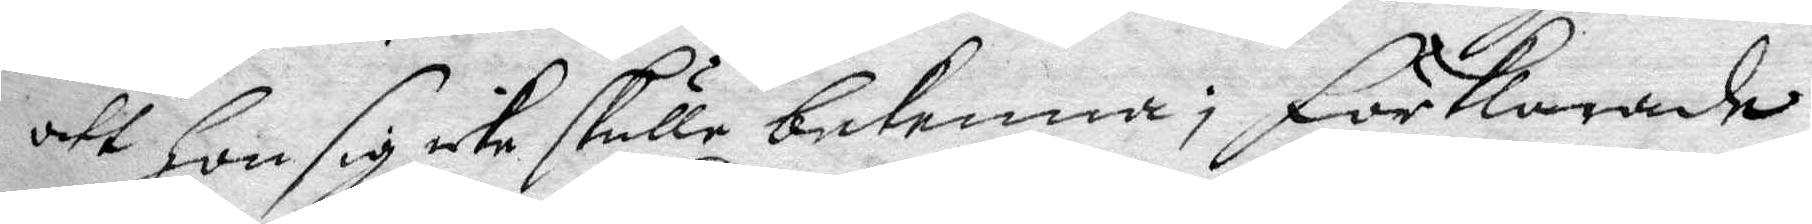att Hon sig icke skulle bekenna; förklarade
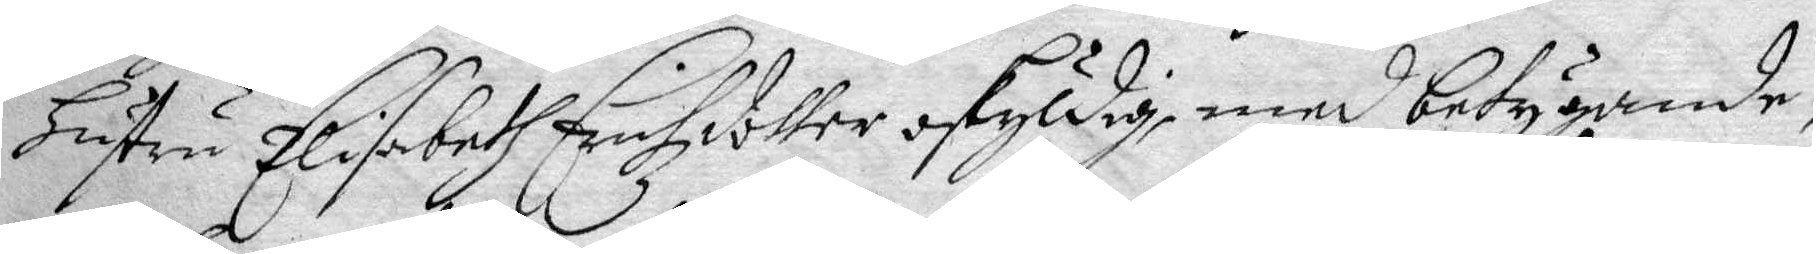Hustru Elisabeth Erichzdotter oskyldig med betygande,
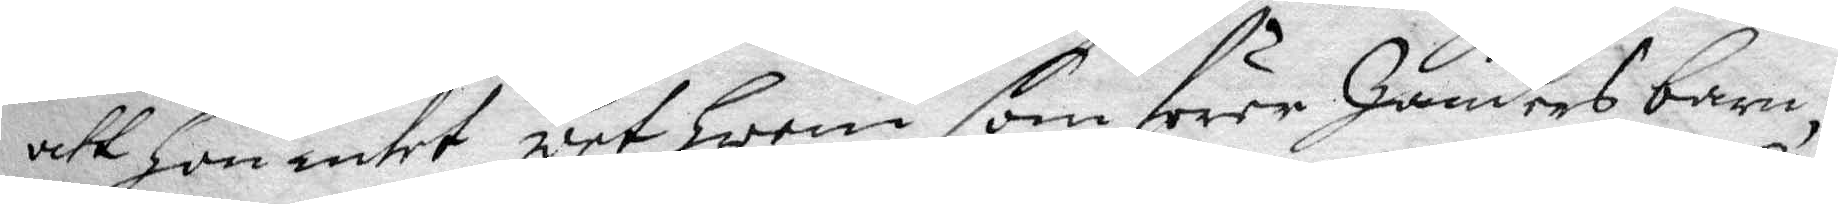att Hon intet wet hwem som förer Zanders barn,
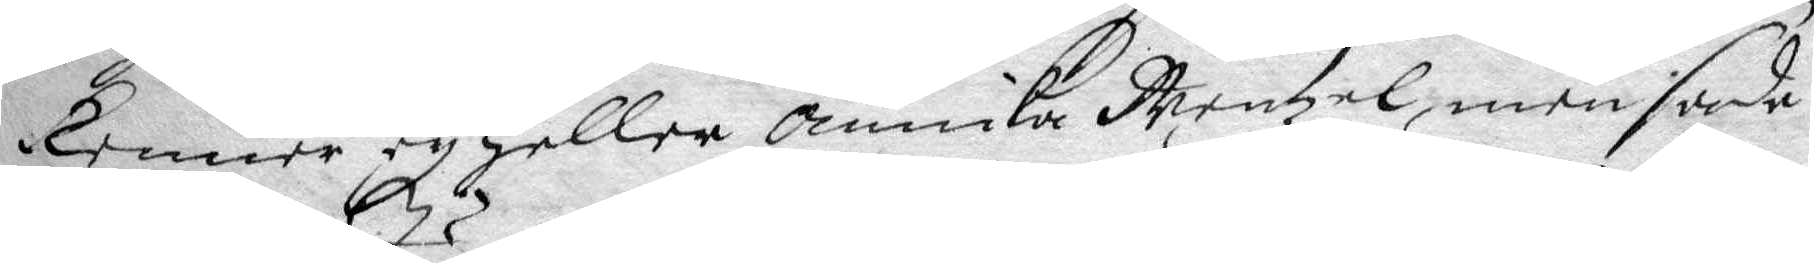kenner ey heller Annika Mentzel, men sade
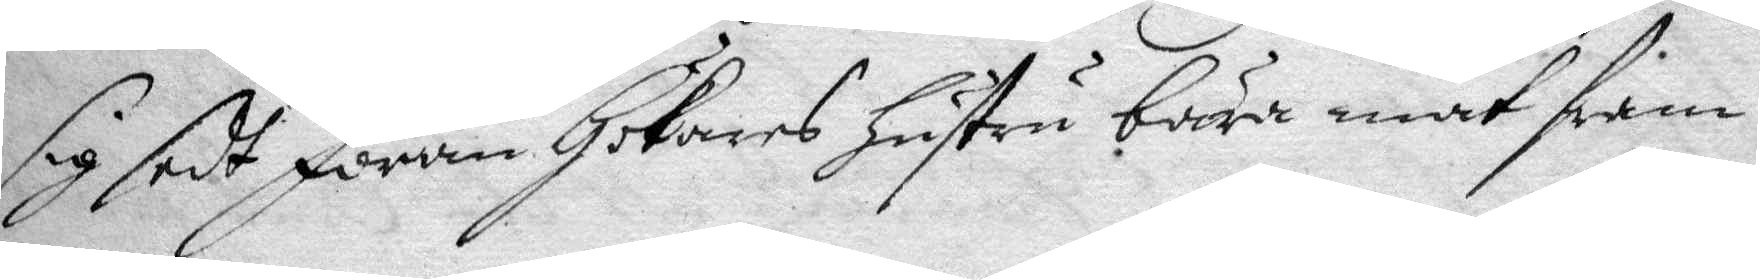sig sedt Jöran Hökares hustru bära mat fram
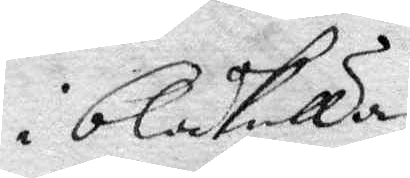i blåkulla
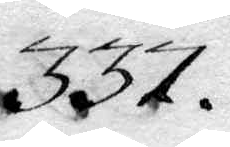337.
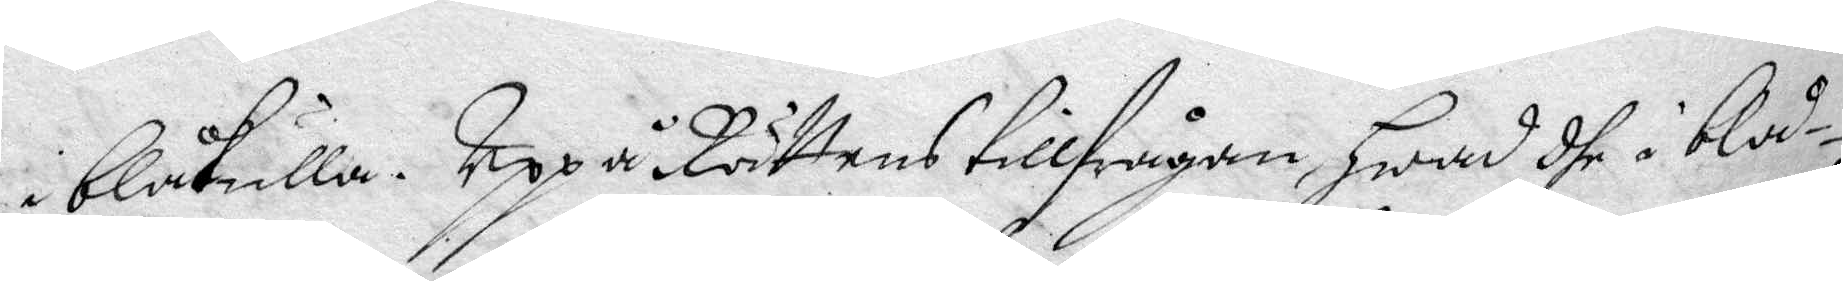i blåkulla. Uppå Rättens tillfrågan, Hwad dhe i blåd¬
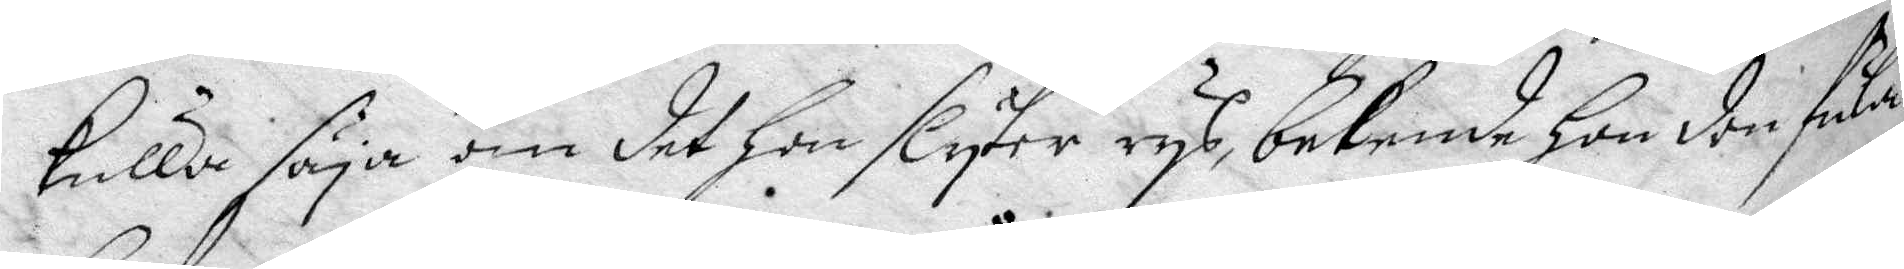kulla säya om dett hon slyter rys, bekende hon den fula
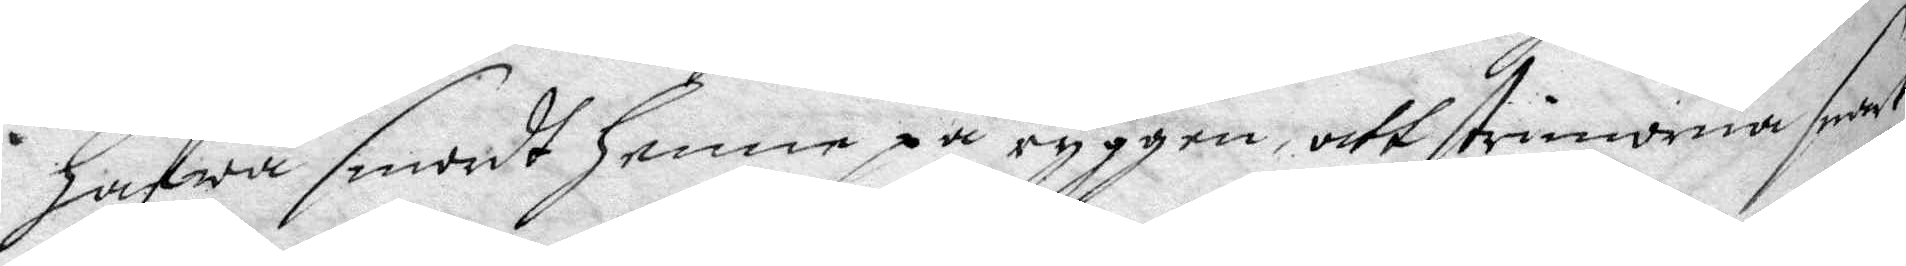hafwa smordt henne på ryggen, att strimmorna snart
